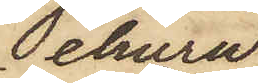ehuru
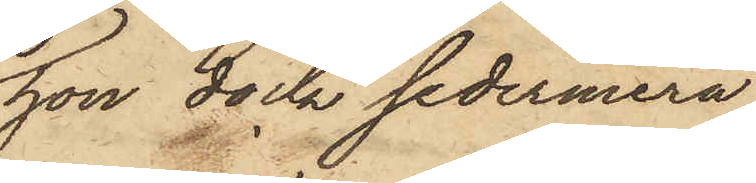hon dock sedermera
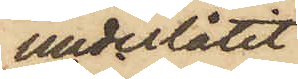underlåtit
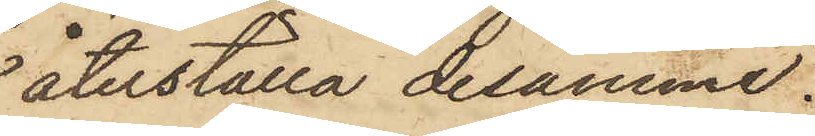återställa desamme.
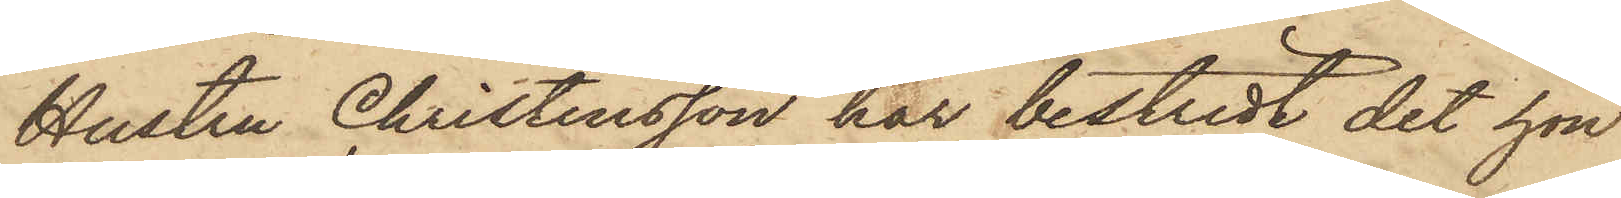Hustru Christensson har bestridt det hon
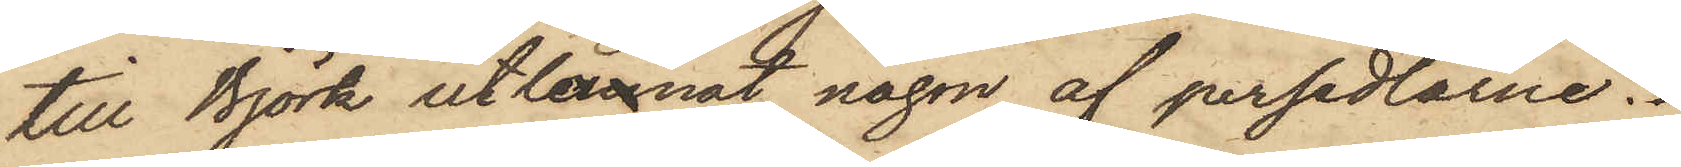till Björk utlånnat någon af persedlarne.
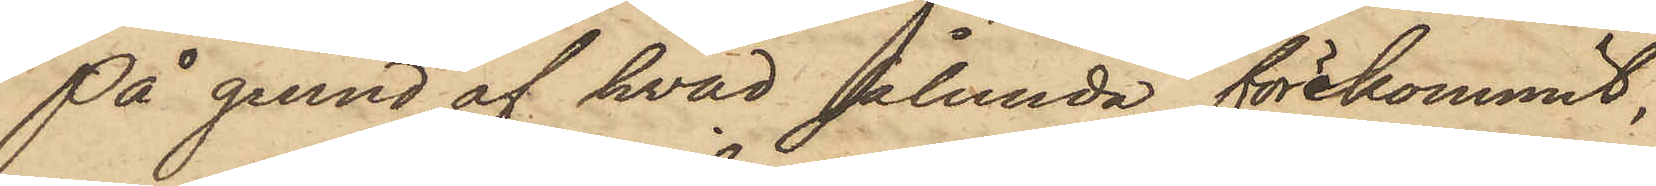På grund af hvad sålunda förekommit,
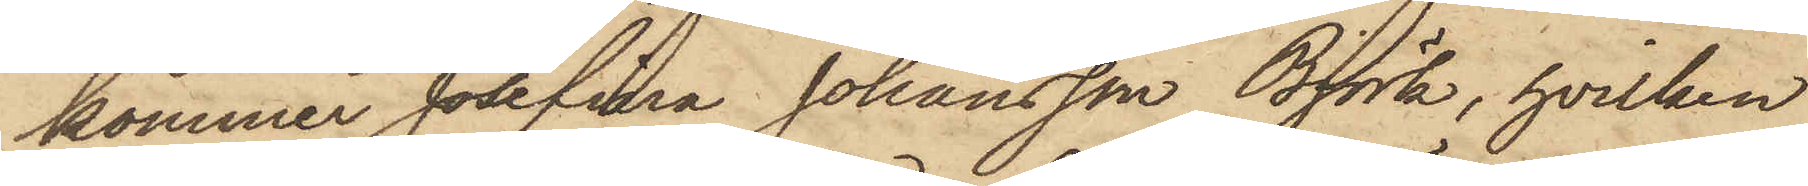kommer Josefina Johansson Björk, hvilken
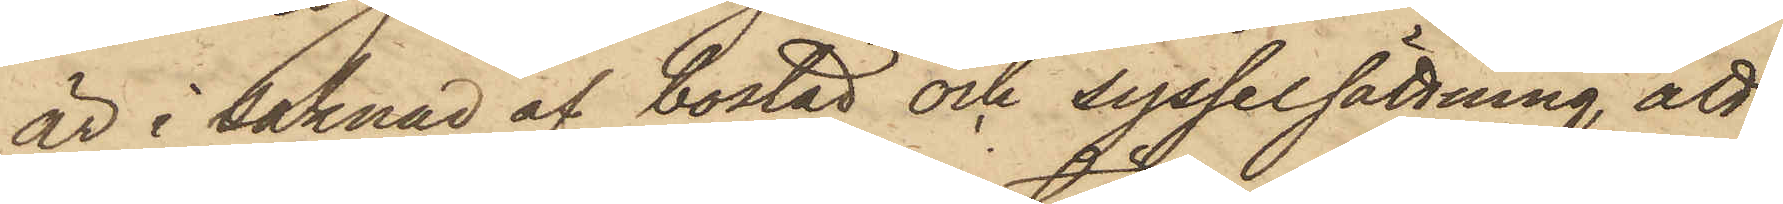är i saknad af bostad och sysselsättning, att
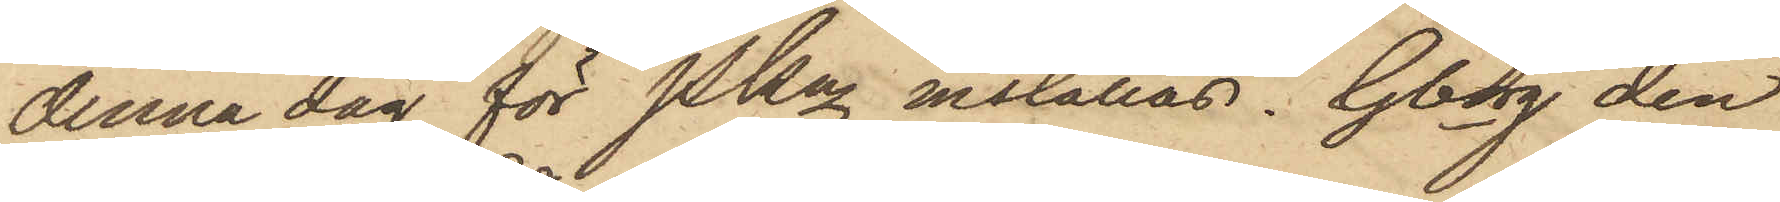denna dag för PKn inställas. Gborg den
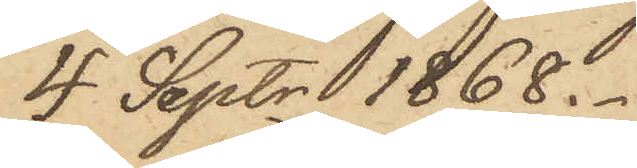4 Septr 1868.
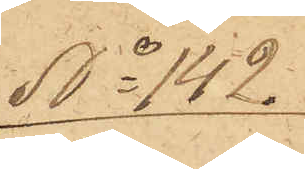No 142.
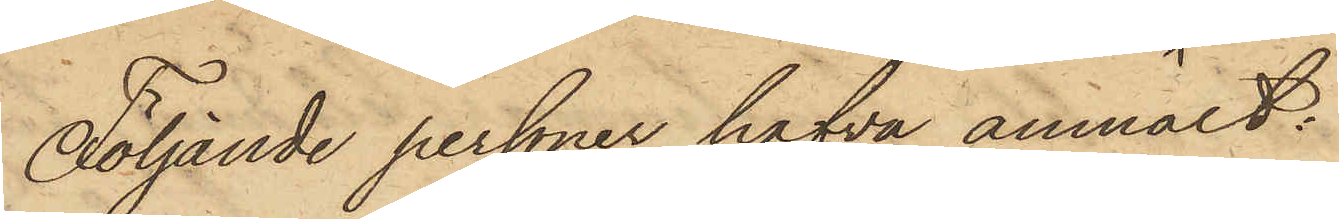Följande personer hafva anmält:
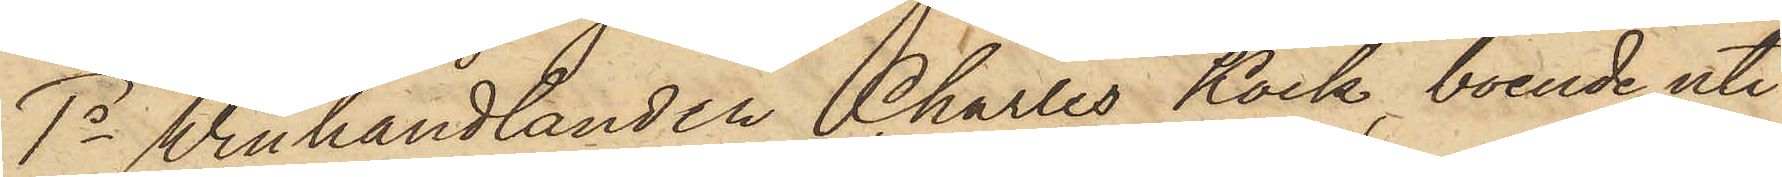1o Winhandlanden Charles Kock, boende uti
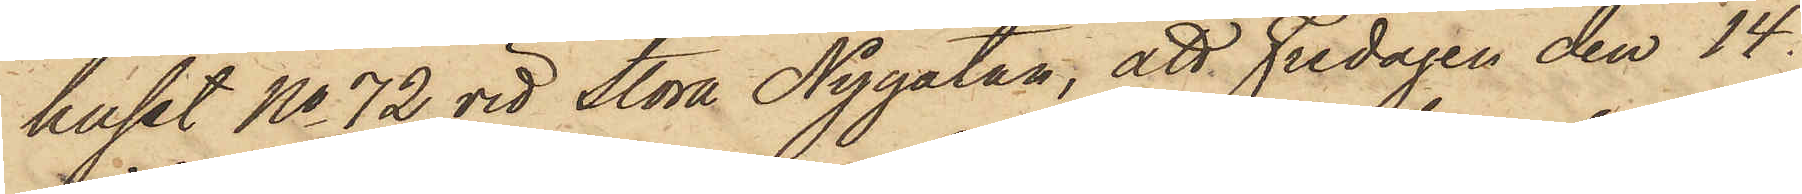huset No 72 vid Stora Nygatan, att Fredagen den 14
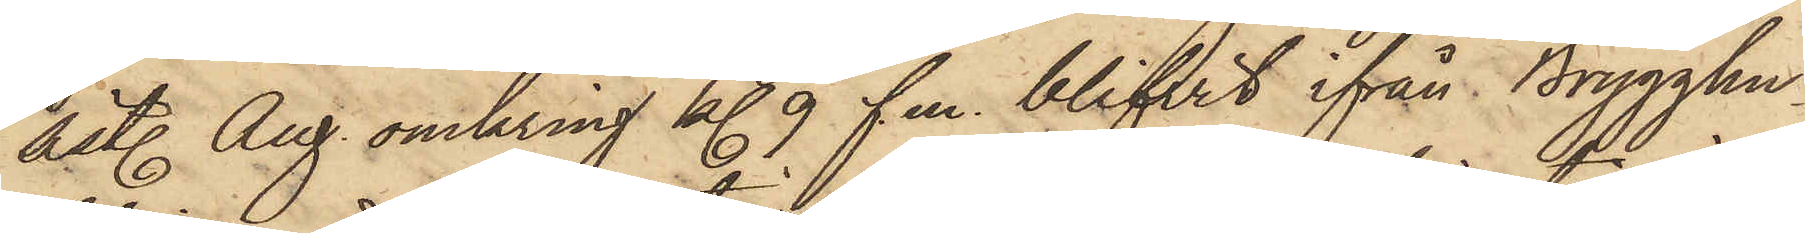sistl. Aug. omkring kl. 9 f.m. blifvit ifrån Brygghu¬
